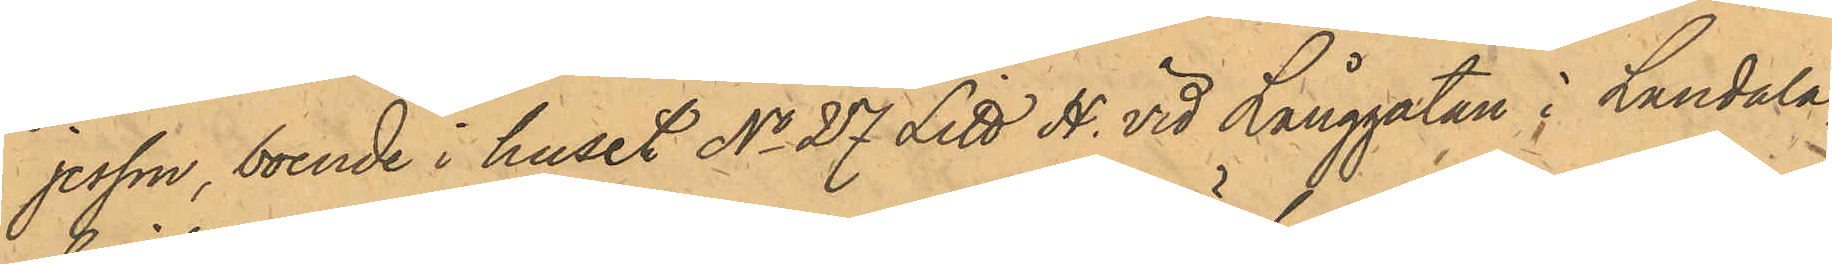jesson, boende i huset No 27 Litt H. vid Långgatan i Landala,
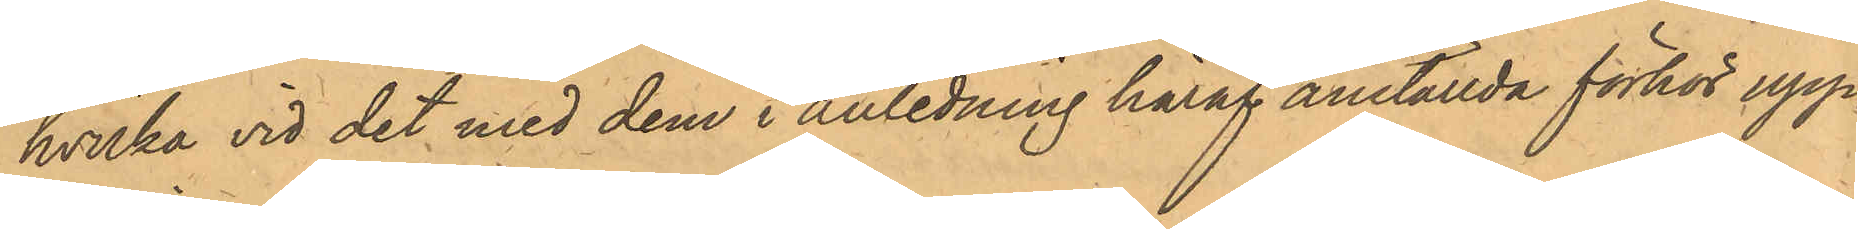hvilka vid det med dem i anledning häraf anställda förhör upp¬
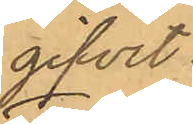gifvit:
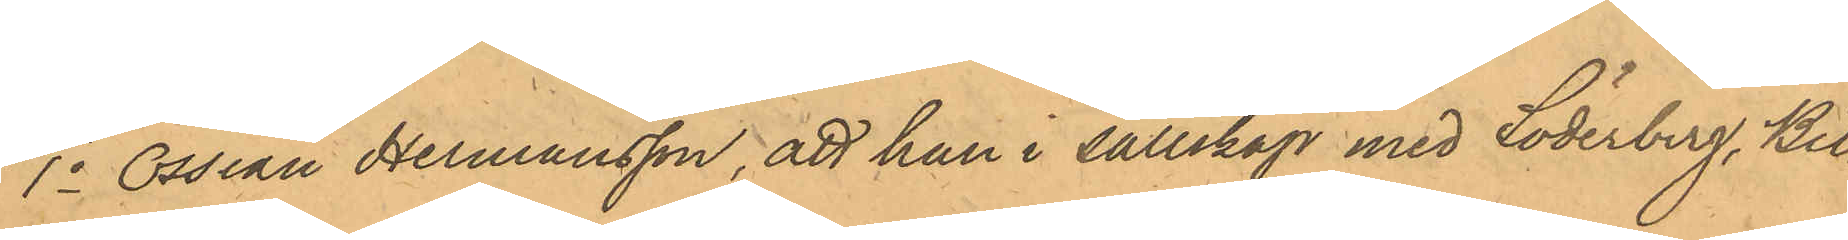1o Ossian Hermansson, att han i sällskap med Söderberg, Bil¬
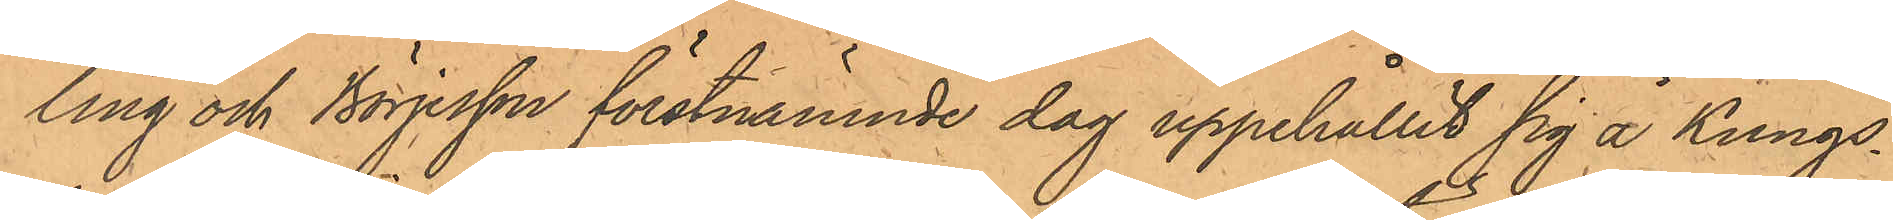ling och Börjesson förstnämnde dag uppehållit sig å Kungs¬
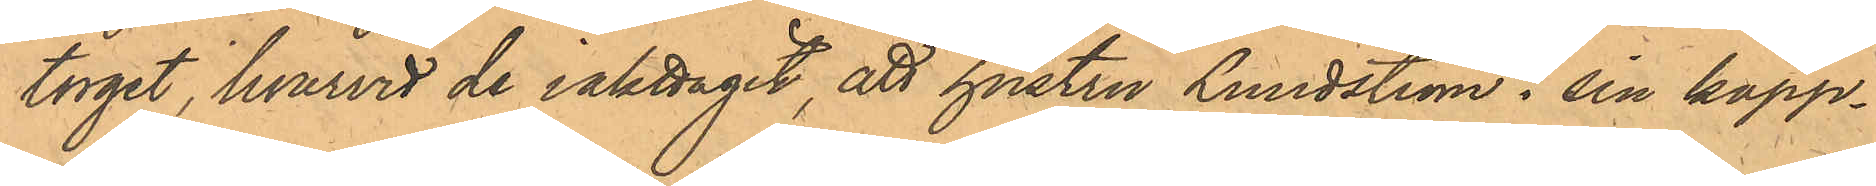torget, hvarvid de iakttagit, att hustru Lundström i sin kapp¬
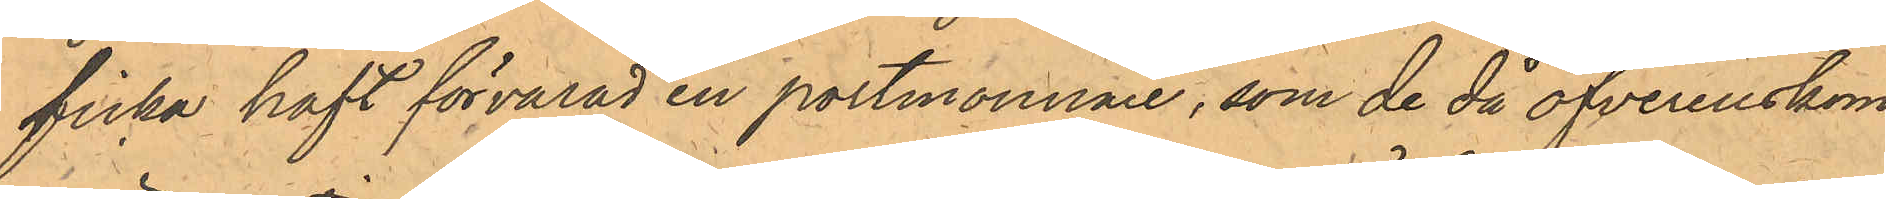ficka haft förvarad en portmonnaie, som de då öfverenskom¬
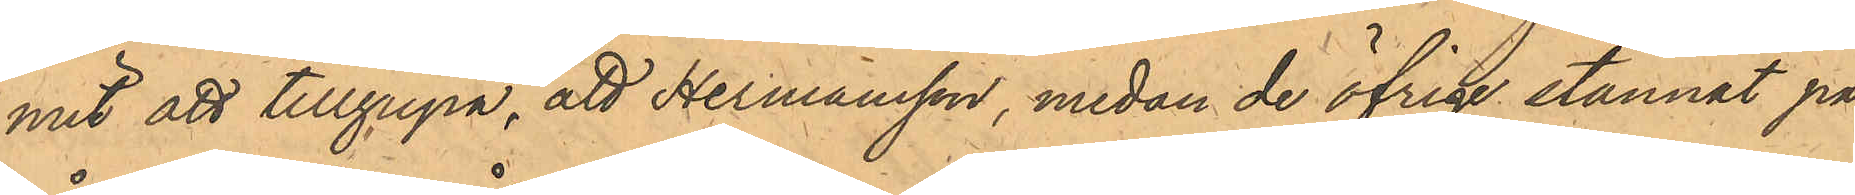mit att tillgripa, att Hermansson, medan de öfrige stannat på
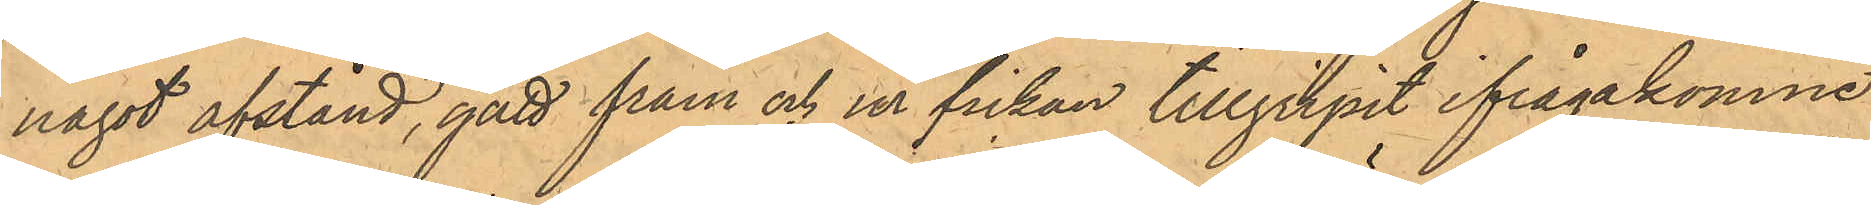något afstånd, gått fram och ur fickan tillgripit ifrågakomne
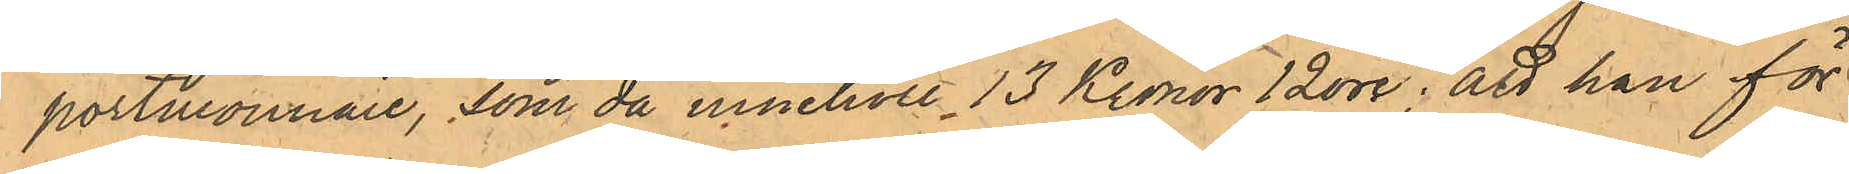portmonnaie, som då innehöll 13 Kronor 12 öre; att han för
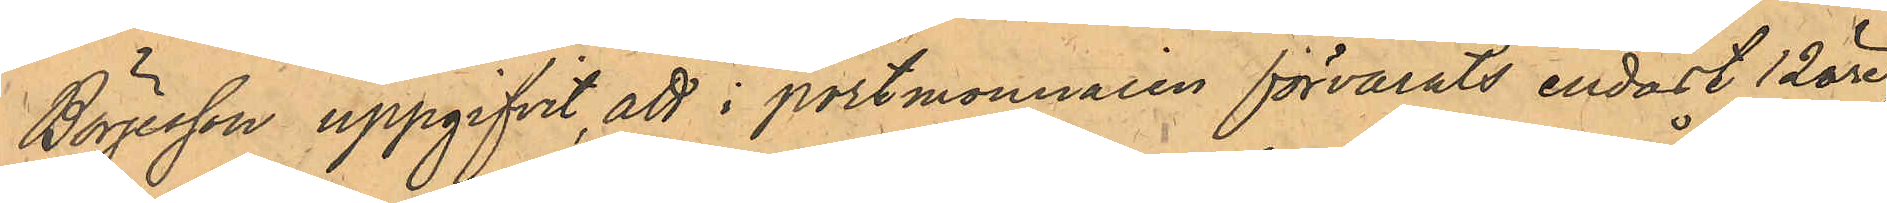Börjesson uppgifvit, att i portmonnaien förvarats endast 12 öre,
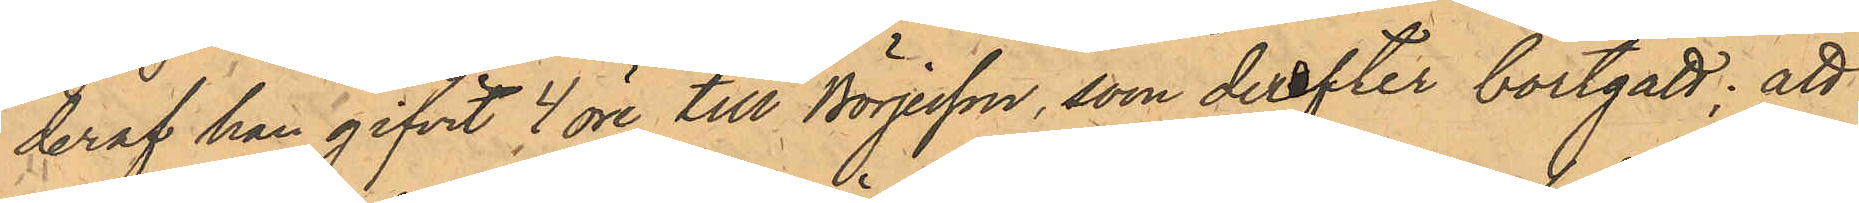deraf han gifvit 4 öre till Börjesson, som derefter bortgått; att
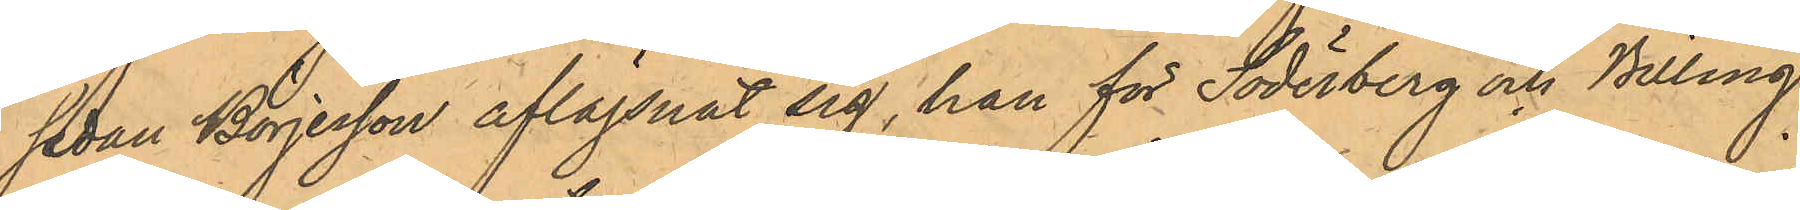sedan Börjesson aflägsnat sig, han för Söderberg och Billing
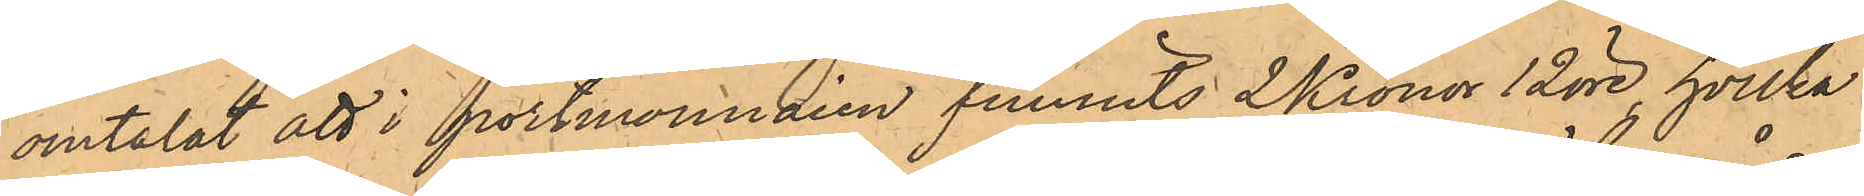omtalat att i portmonnaien funnits 2 Kronor 12 öre, hvilka
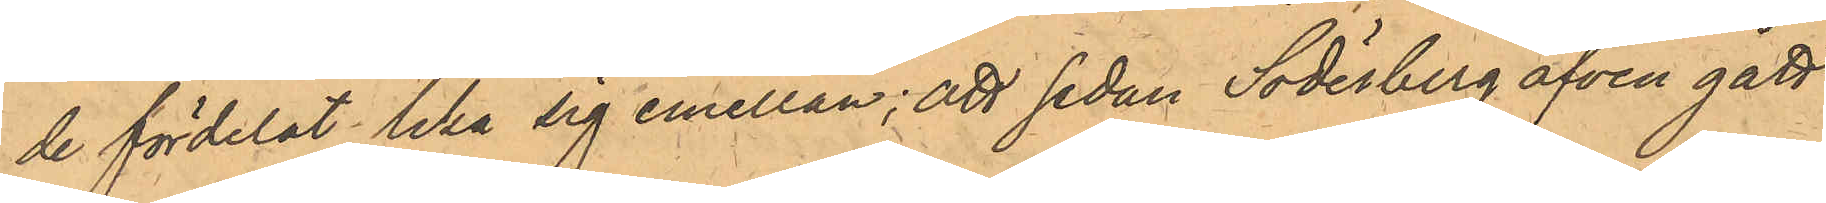de fördelat lika sig emellan; att sedan Söderberg äfven gått
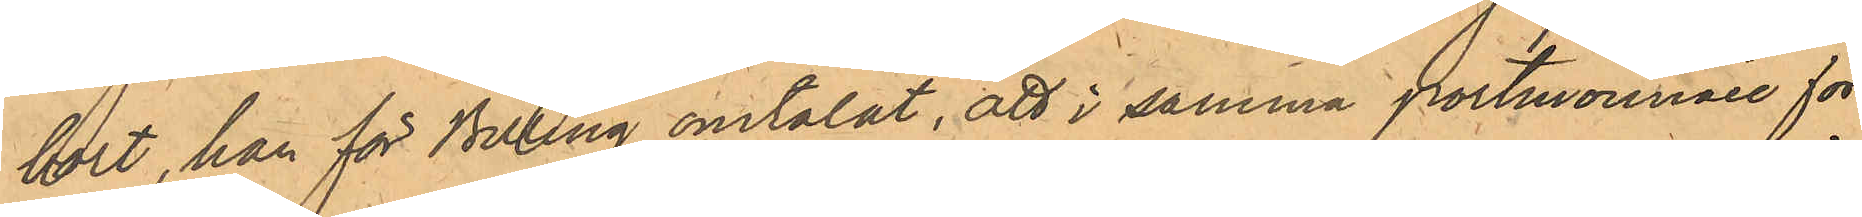bort, han för Billing omtalat, att i samma portmonnaie för¬
